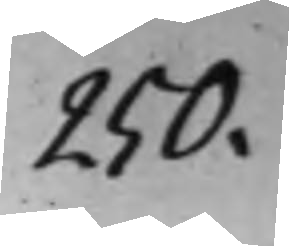250.
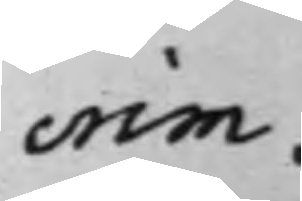crim.
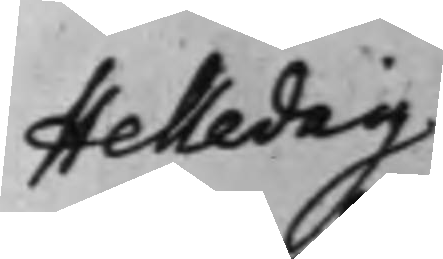Helledaij
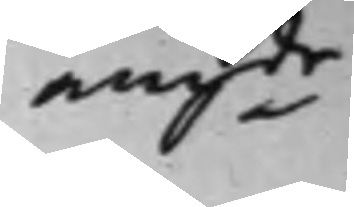angde
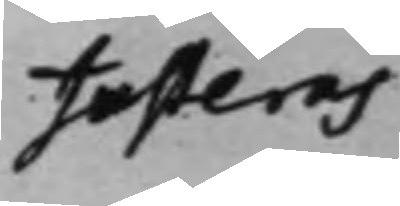Justeras
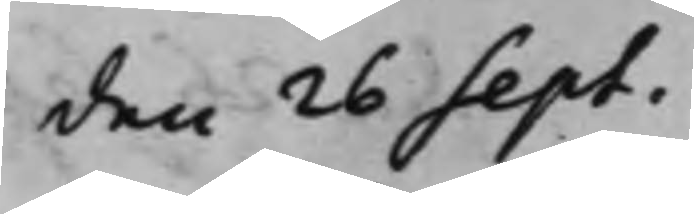den 26 Sept.
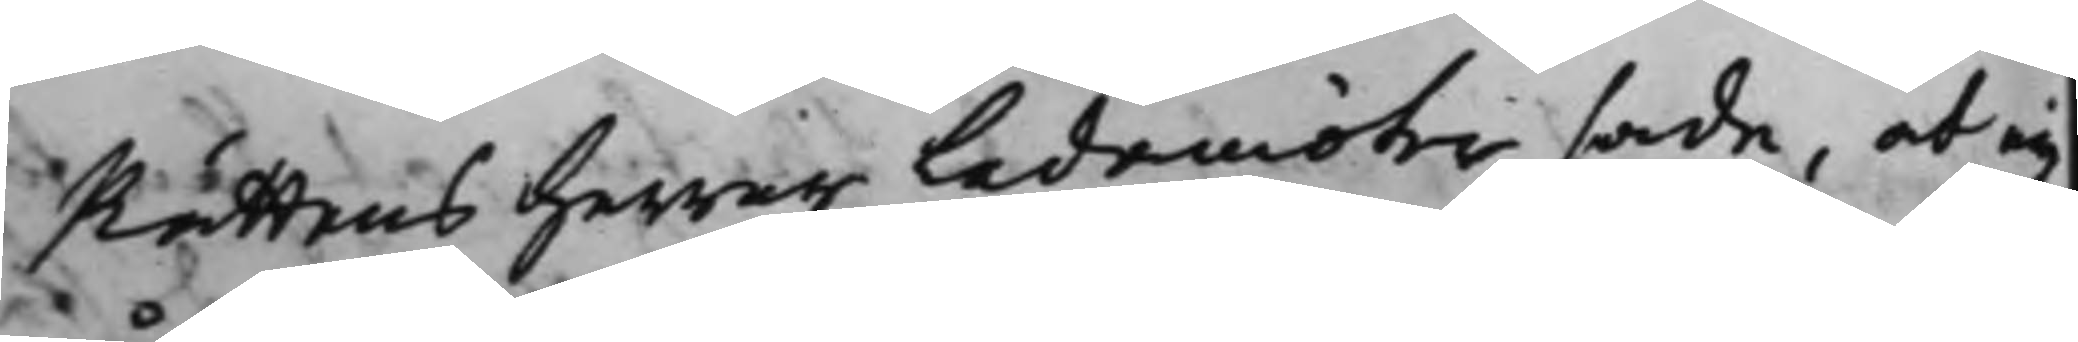Rättens Herrar Ledamöter sade, at eij
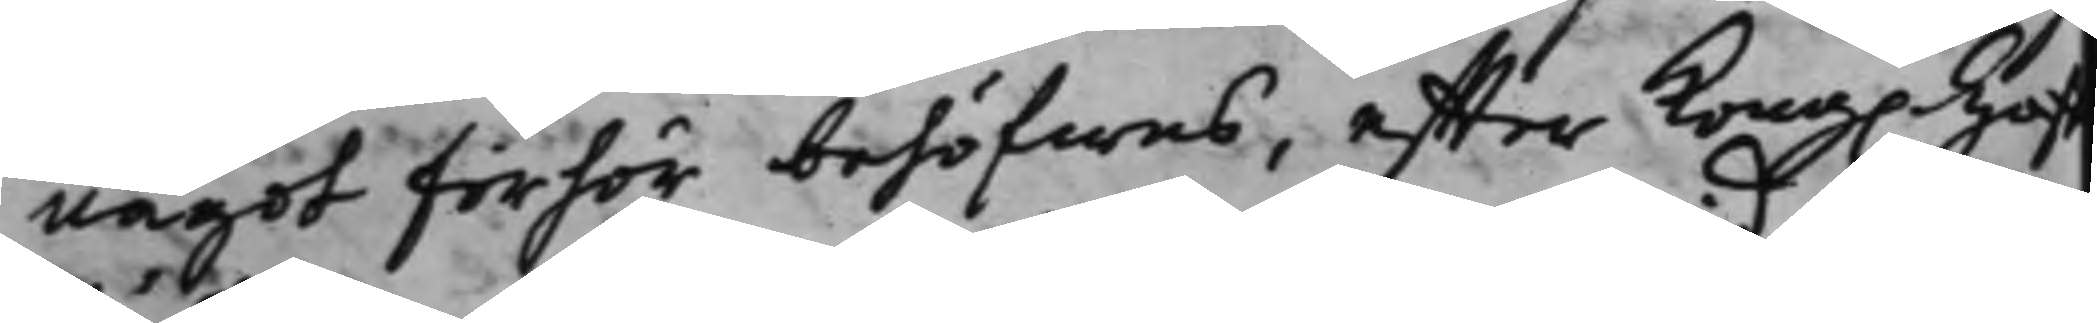något förhör behöfwas, effter Kong. Hof¬
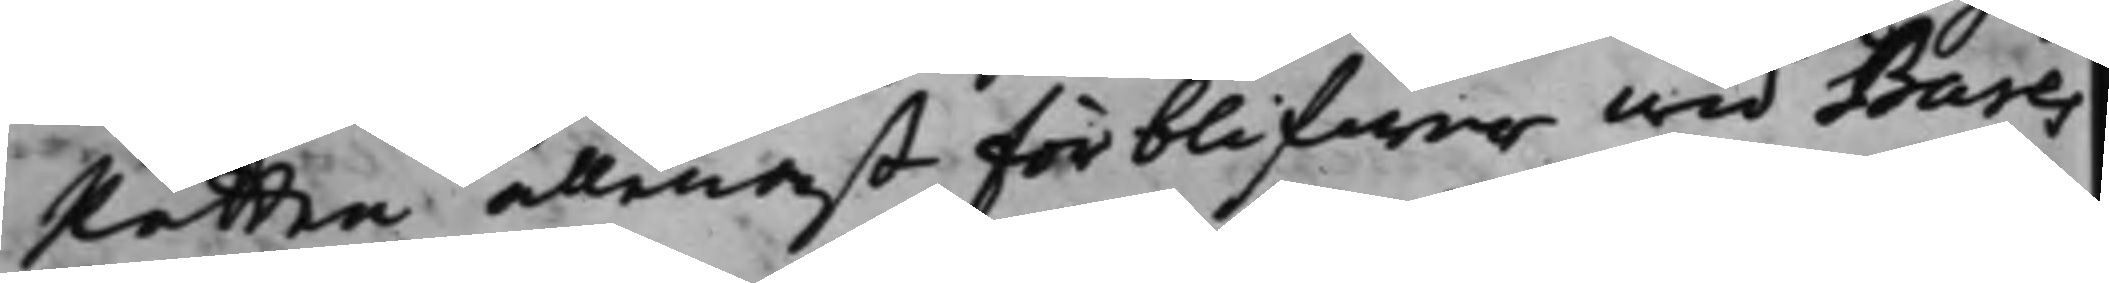Rätten allenast förblifwer wid Bures
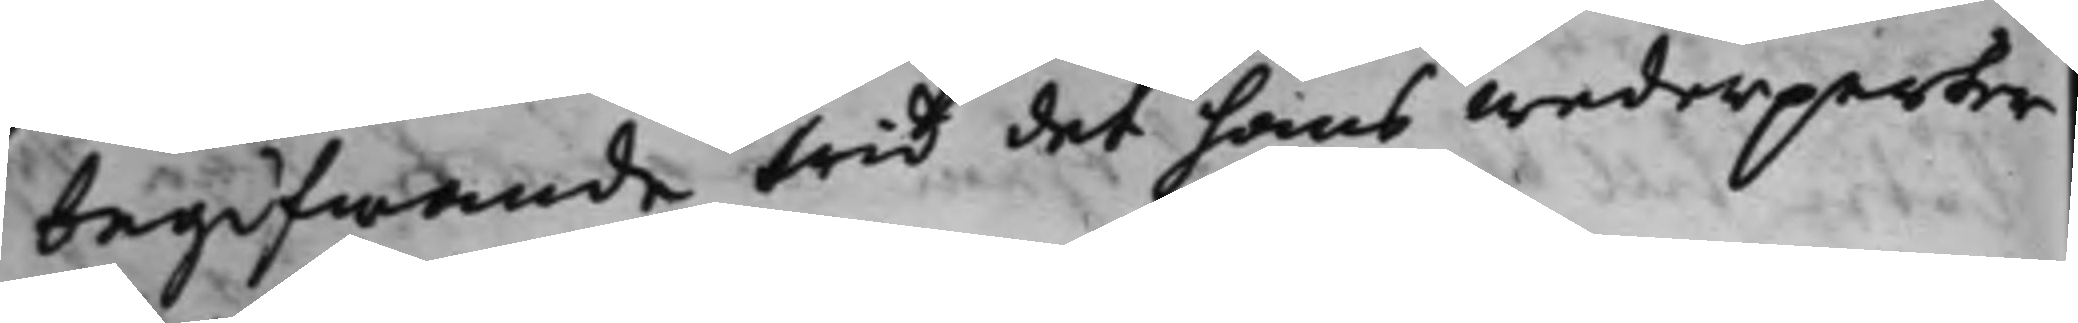begifwande wid det hans wederparter
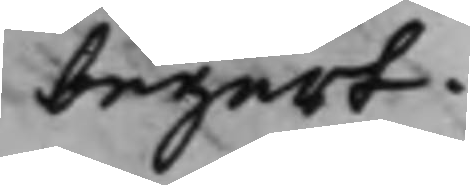begärt.
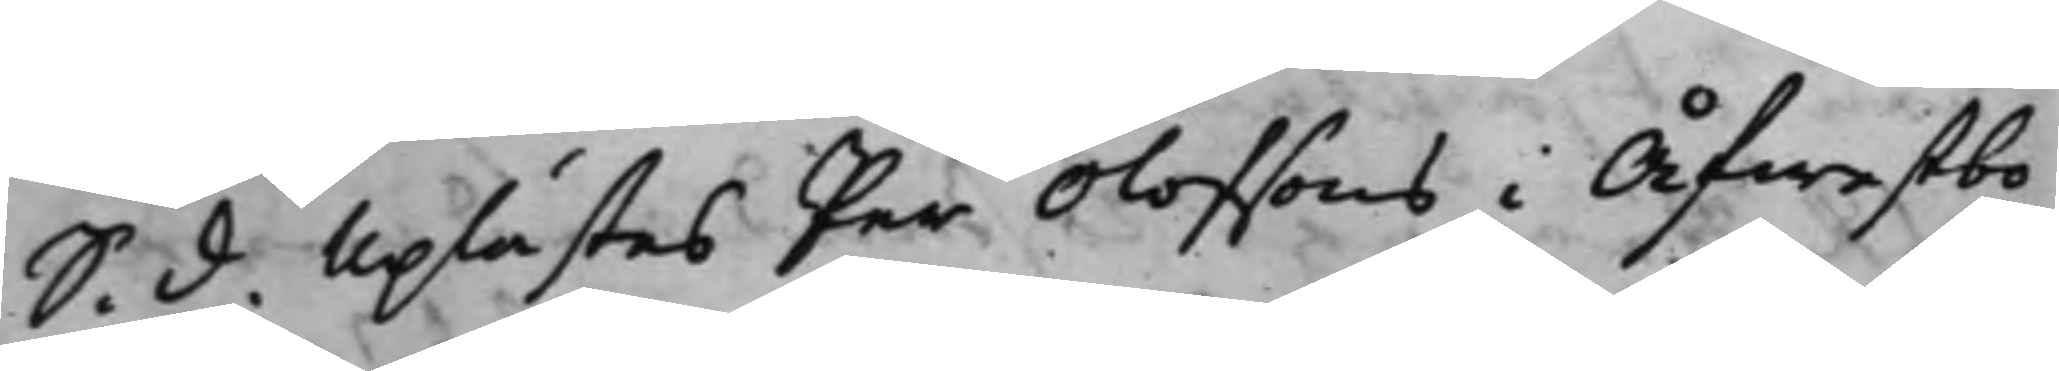S. d. Uplästes Per Olofsons i Åfwestbo
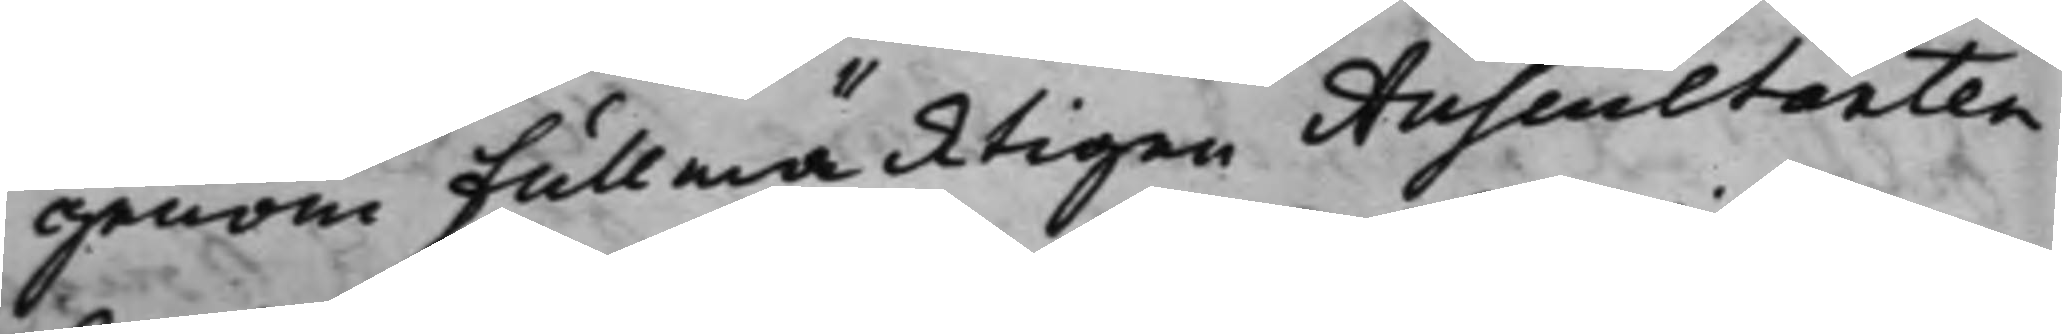genom Fullmäcktigen Auscultanten
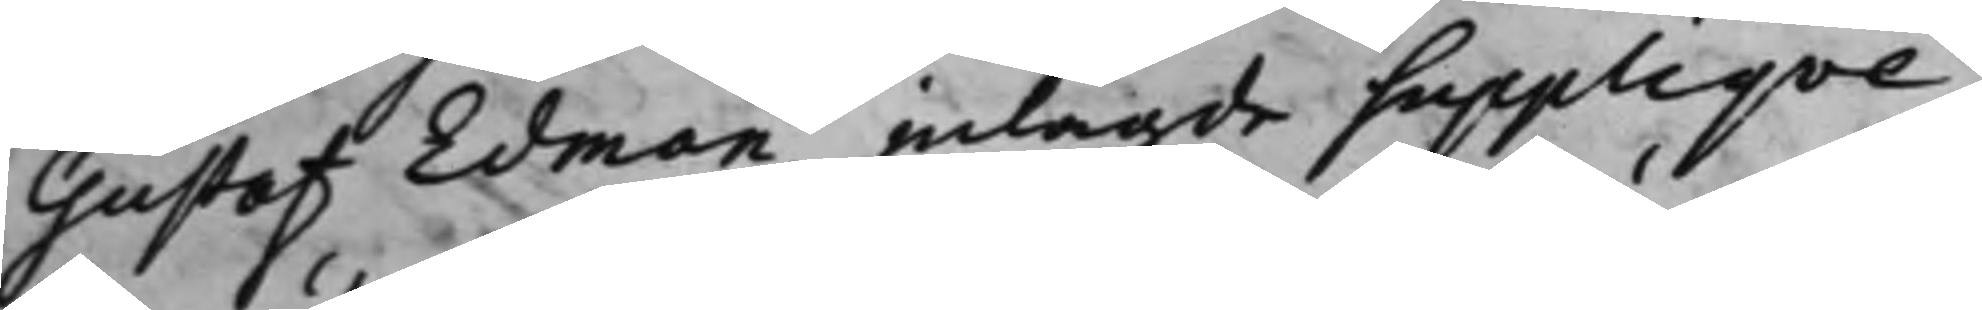Gustaf Edman inlagde Suppliqve,
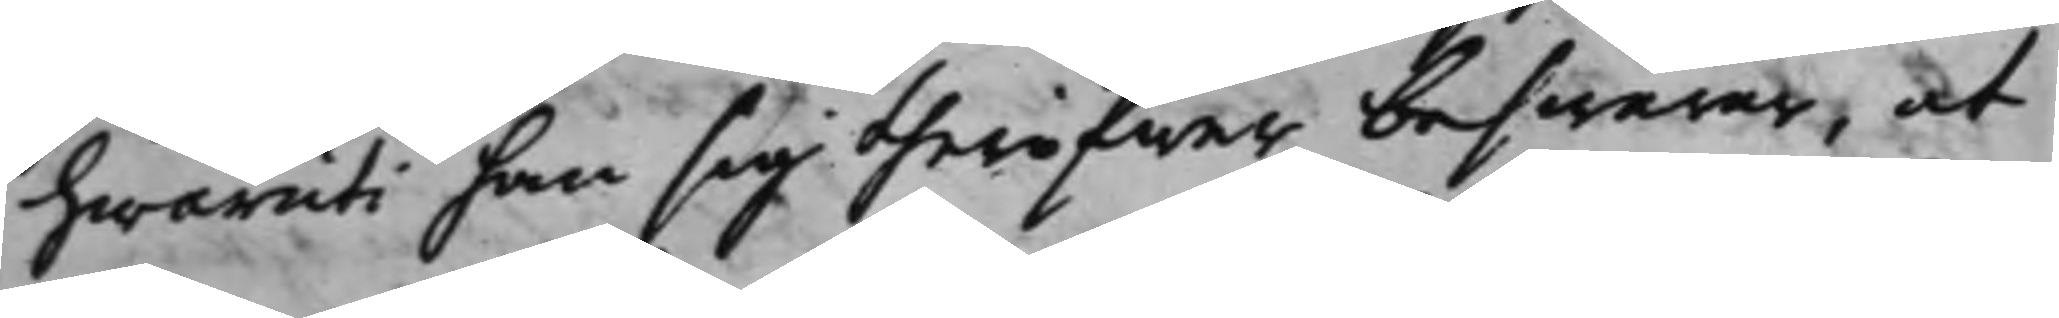hwaruti han sig theröfwer beswärar, at
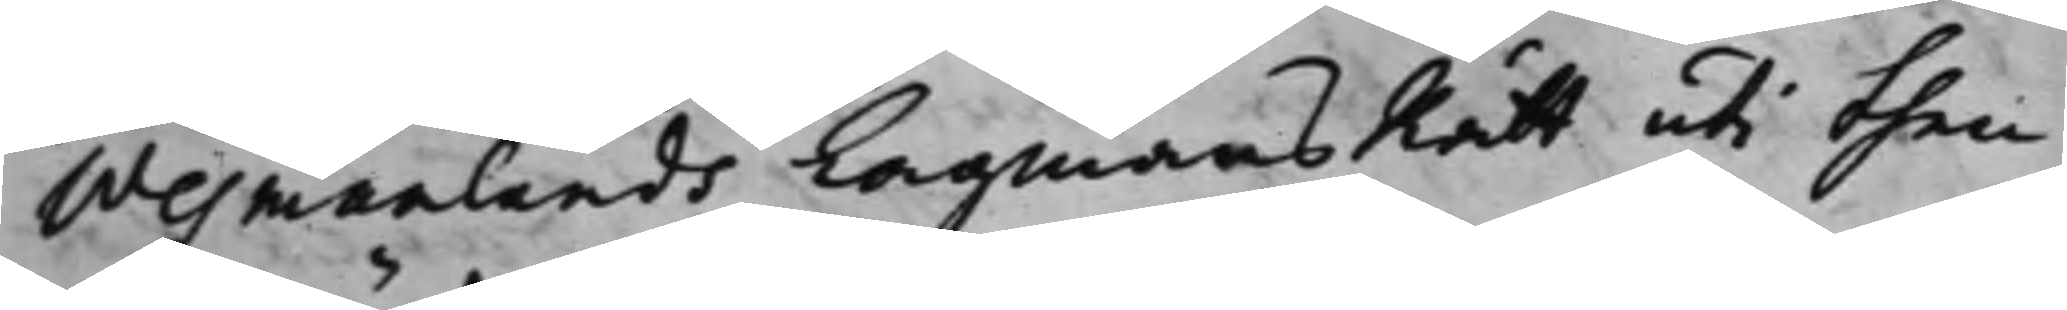Wesmanlands LagmansRätt uti then
